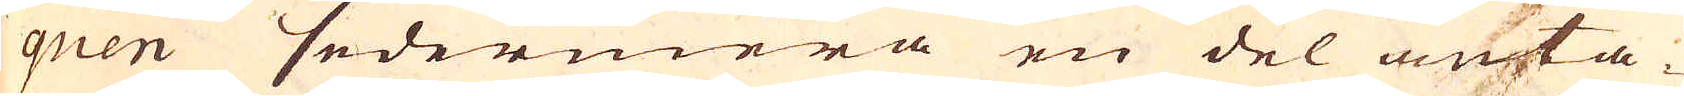quen sedermera en del anta-
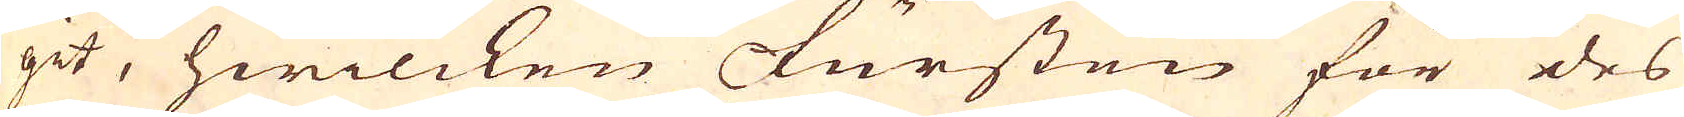git, hwilcken Fursten för des
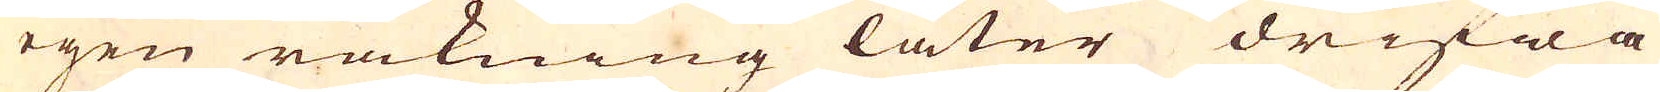egen räkning låter drifwa
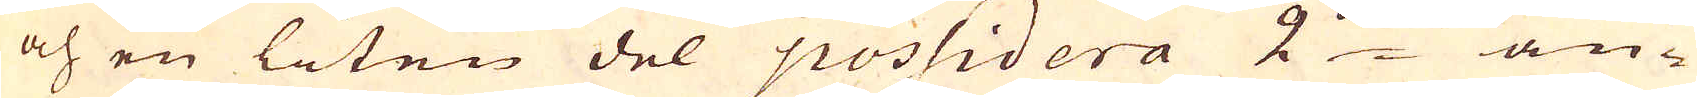och en liten del possidera 2:ne an-
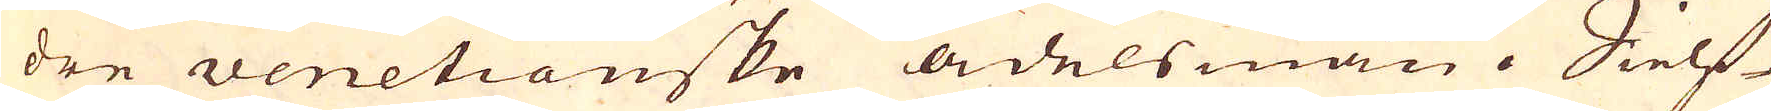dre venetianske adelsmän. Sielf-
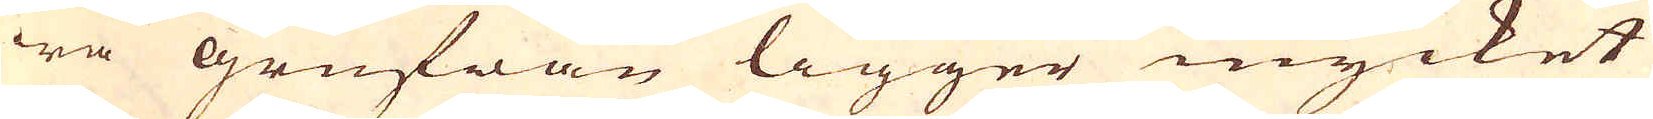wa grufwan ligger mycket
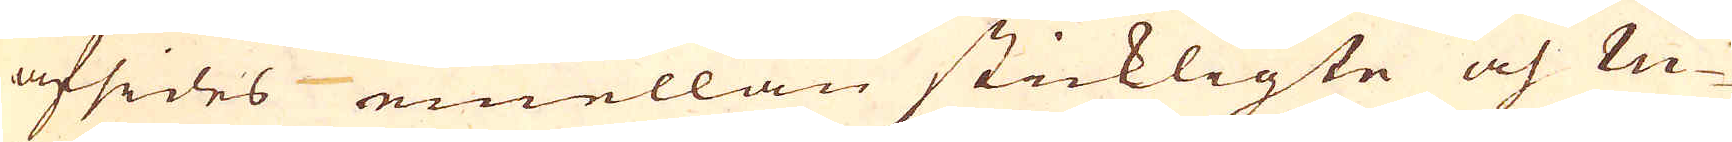afsides emellan stickligte och ru-
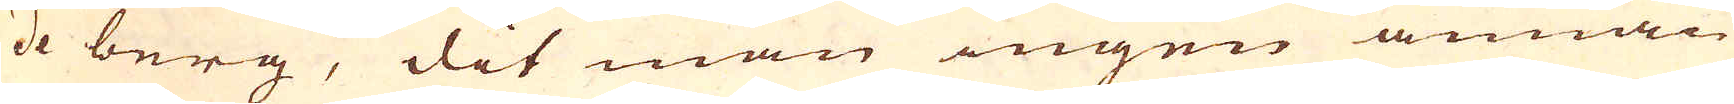de berg, dit man ingen annan
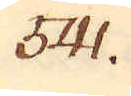541.
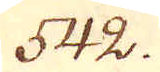542.
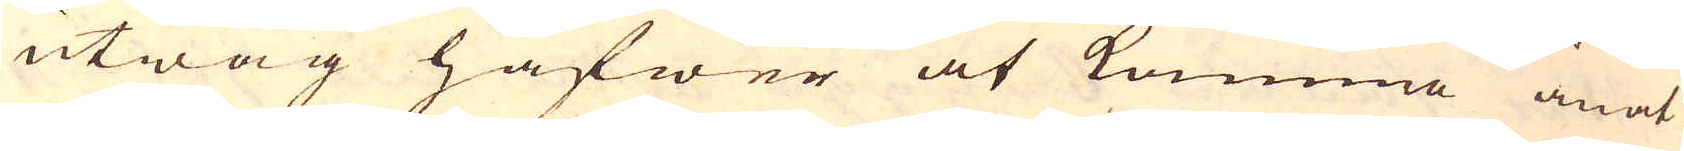utwäg hafwer at komma än at
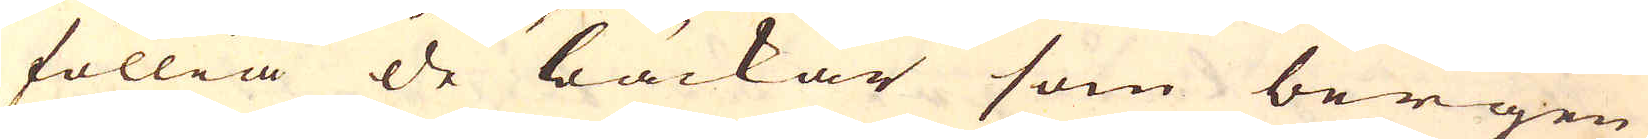föllia de bäckar som bergen
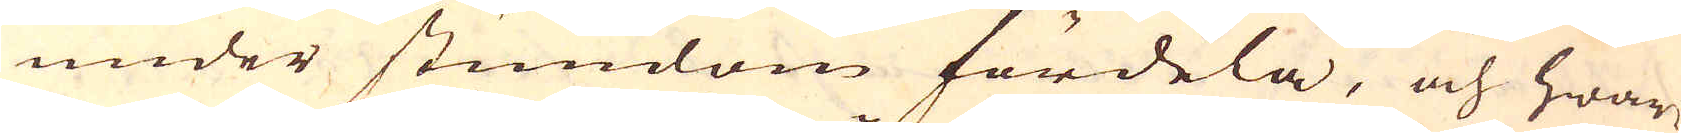under stundom fördela, och hwar-
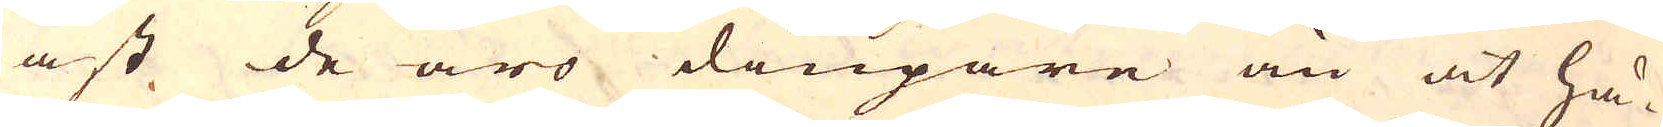äst de äro diupare än at hä-
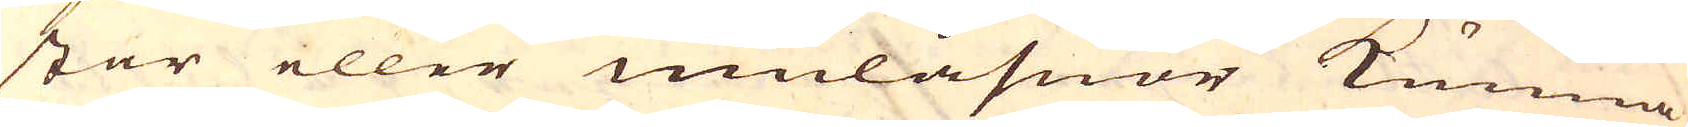star eller mulåsnor kunna
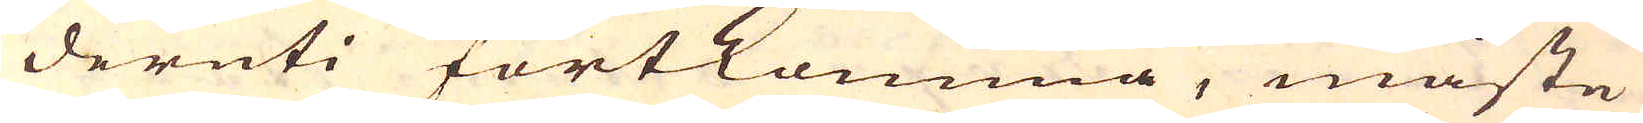deruti fortkomma, måste
